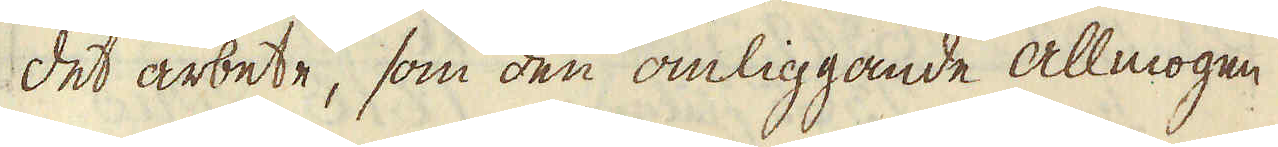det arbete, som den omliggande allmogen
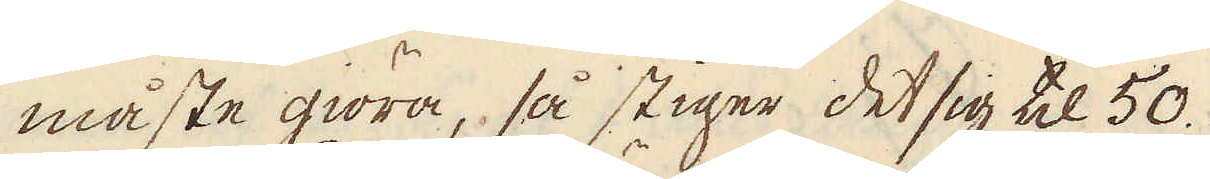måste giöra, så stiger det sig til 50.
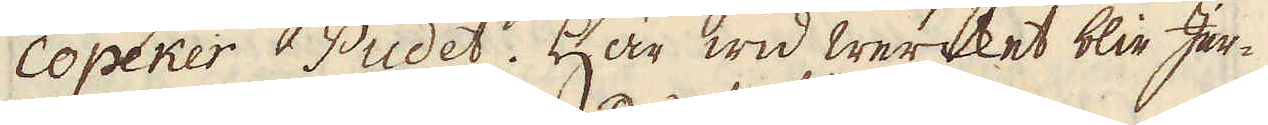Copeker Pudet. Här wid wercket blir Jer-
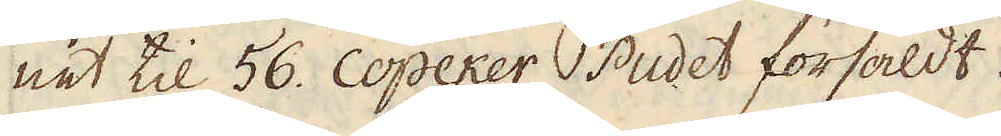net til 56. Copeker Pudet försåldt.
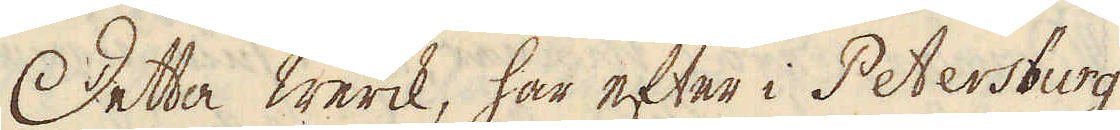Detta werck, här efter i Petersburg
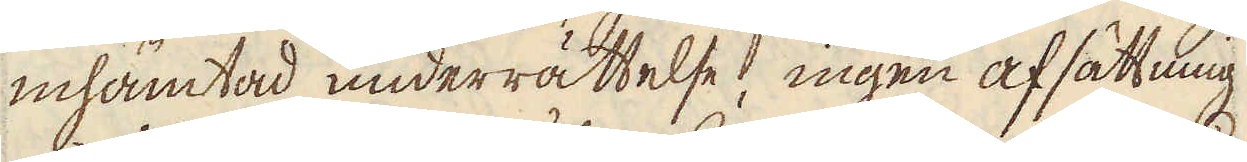inhämtad underrättelse, ingen afsättning
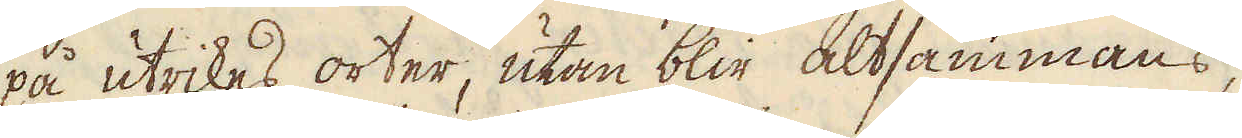på utrikes orter, utan blir altsammans,
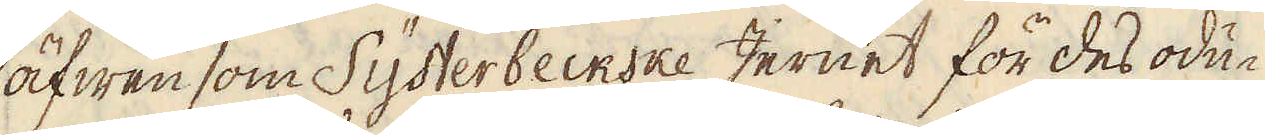äfwen som Systerbeckske Jernet för des odu-
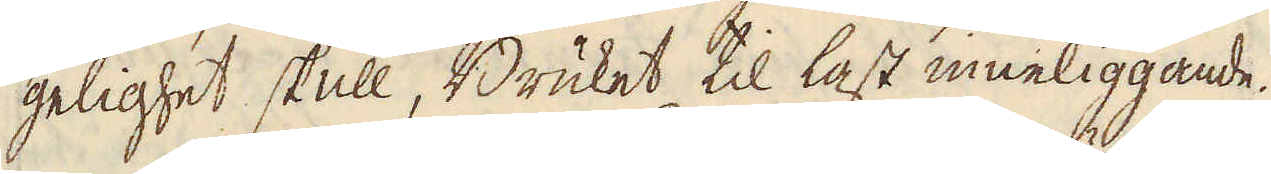gelighet skull, Bruket til last inneliggande.
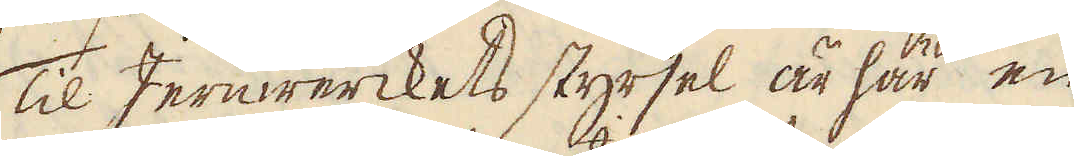Til Jernwerckets styrsel är här en
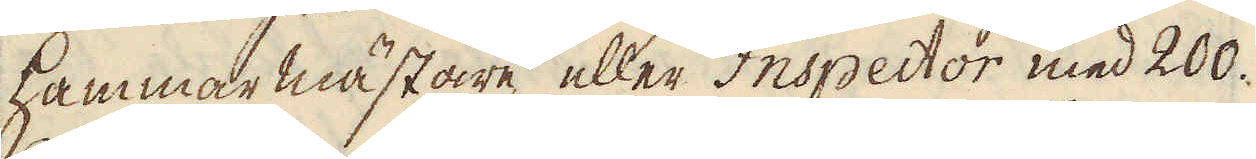hammar mästare eller Inspector med 200.
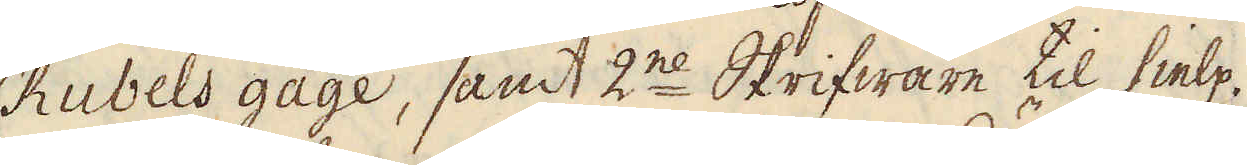Rubels gage, samt 2ne Skrifware til hielp.
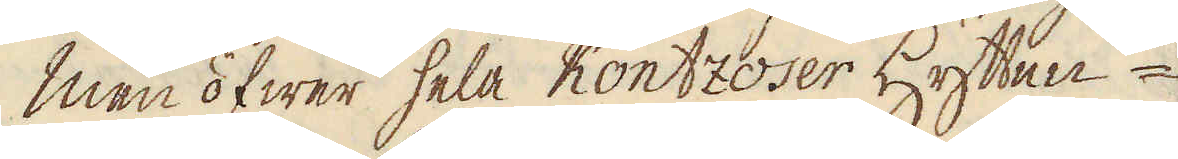Men öfwer hela Kontzoser Hytten-
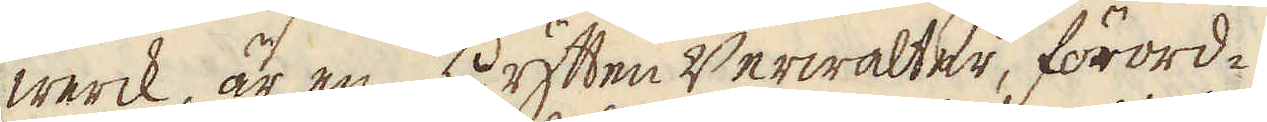werck, är en Hytten Werwalter, förord-
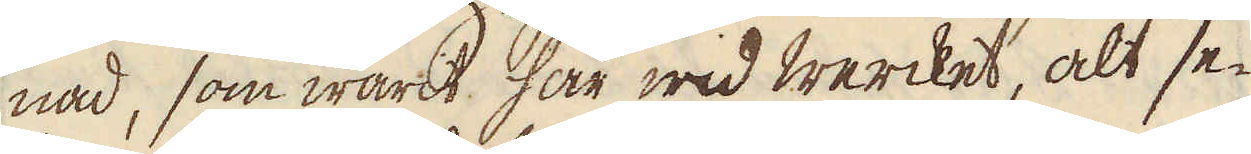nad, som warit här wid wercket, alt se-
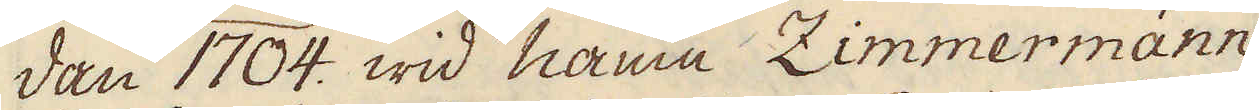dan 1704. wid namn Zimmermann
